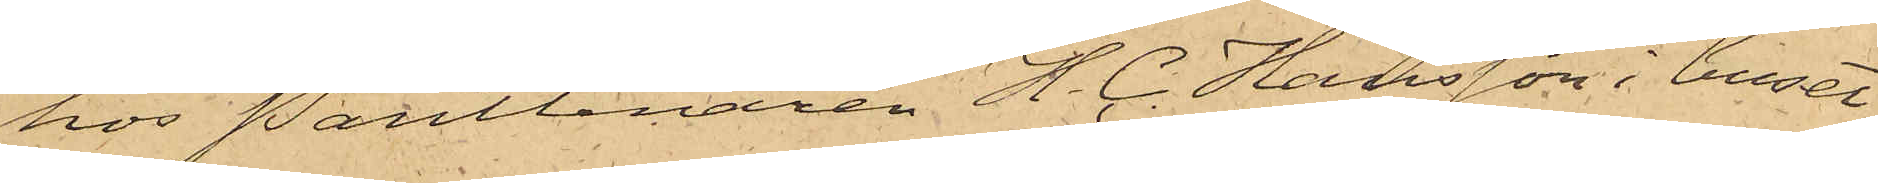hos Pantlånaren H. C. Hansson i huset
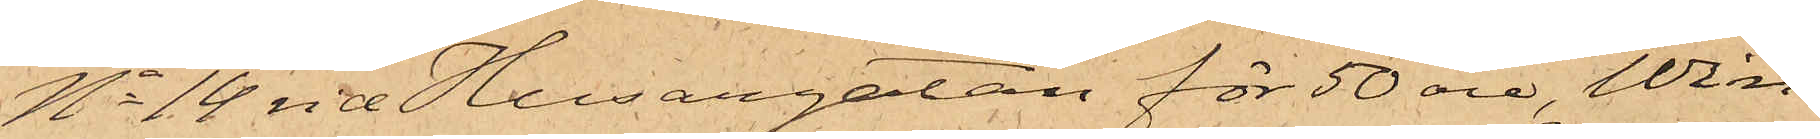No 14 vid Husargatan för 50 öre, Win¬
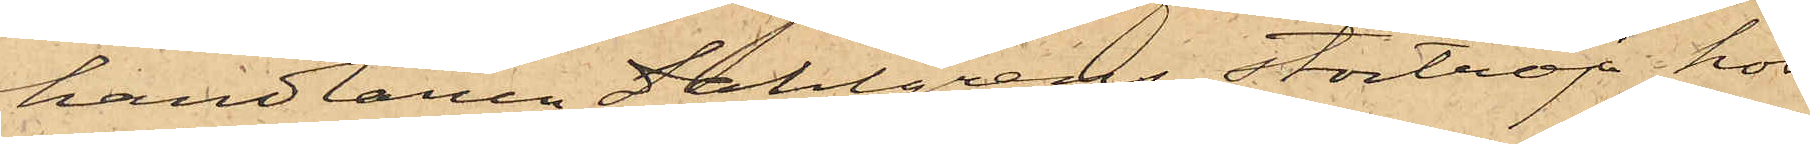handlaren Dahlgrens stortröja hos
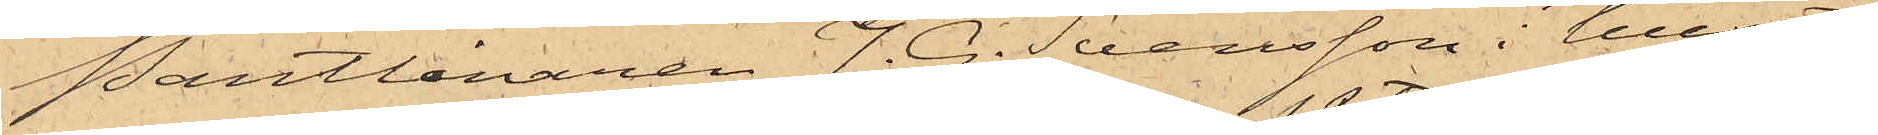Pantlånaren J. G. Svensson i huset
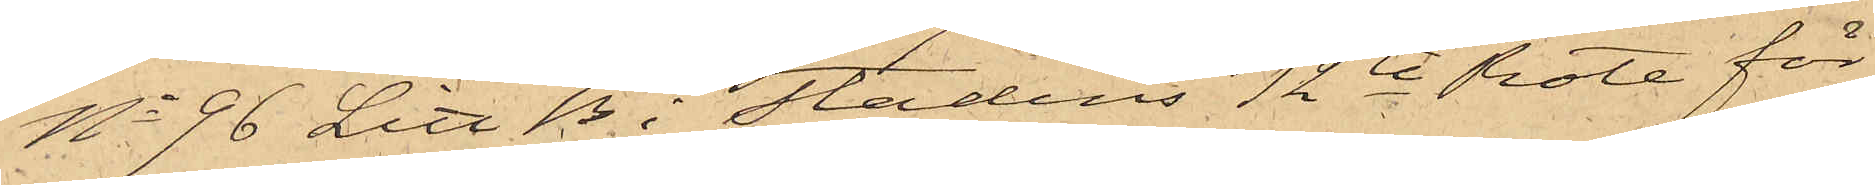No 96 Litt B. i Stadens 12te Rote för
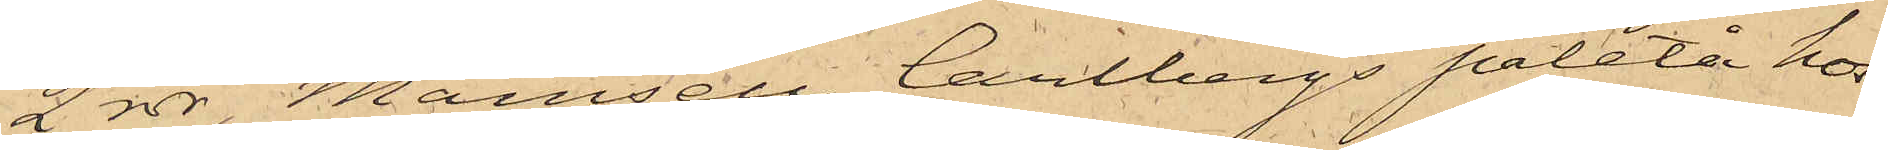2 rdr, Mamsell Carlbergs paletå hos
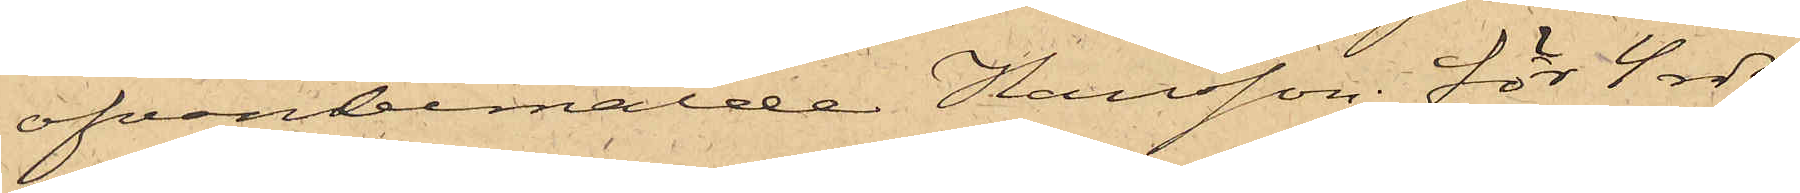ofvanbemälde Hansson för 4 rdr,
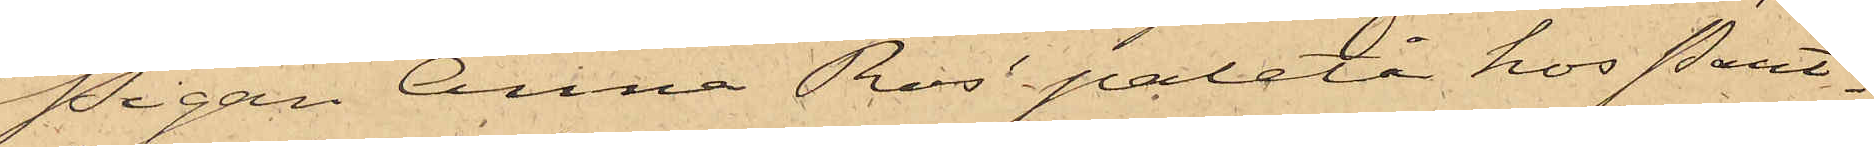Pigan Anna Ros' paletå hos Pant¬
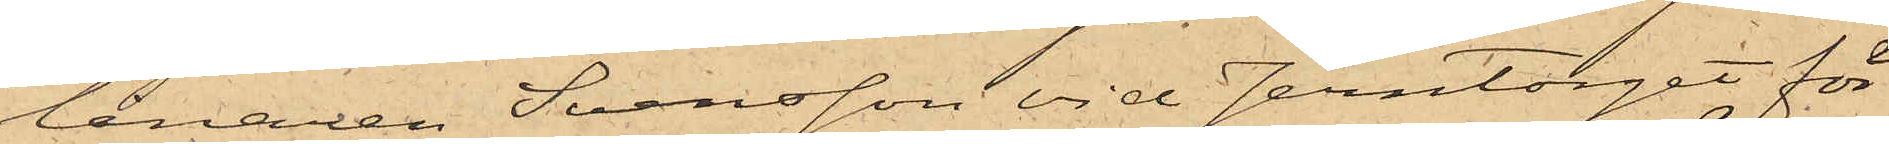lånaren Svensson vid Jerntorget för
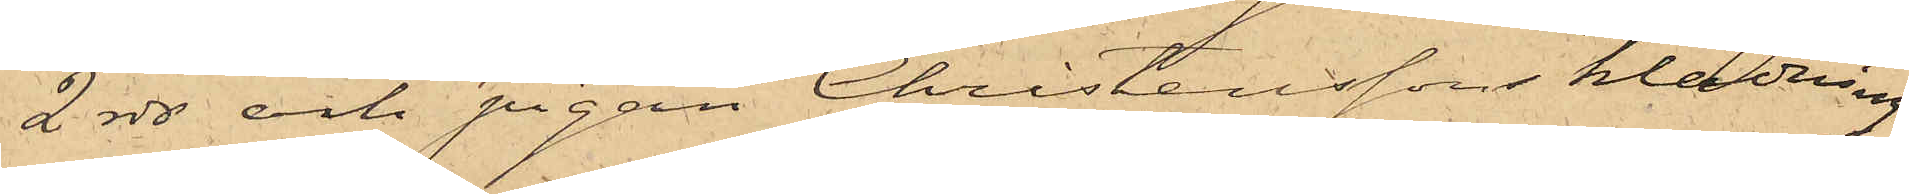2 rdr och pigan Christenssons klädning
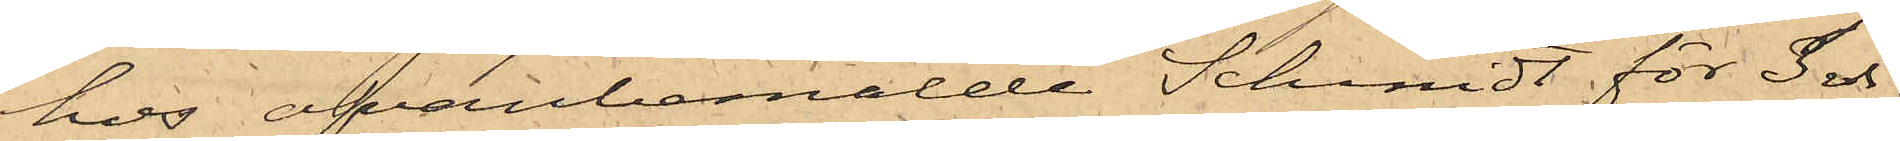hos ofvanbemälde Schmidt för 3 rdr;
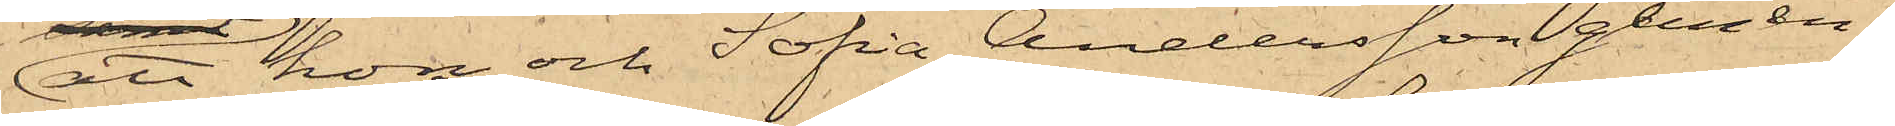att hon och Sofia Andersson gemen¬
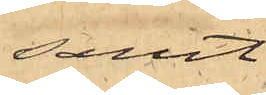samt
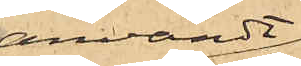användt
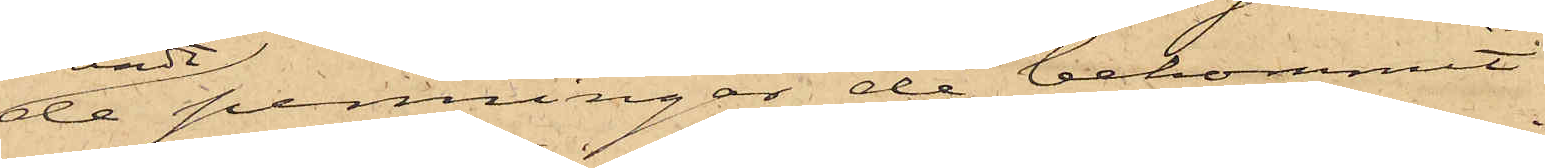de penningar de bekommit
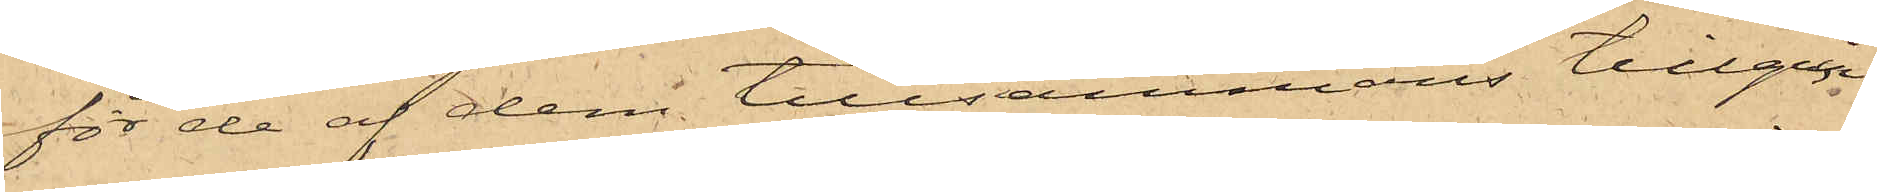för de af dem tillsammans tillgrip¬
